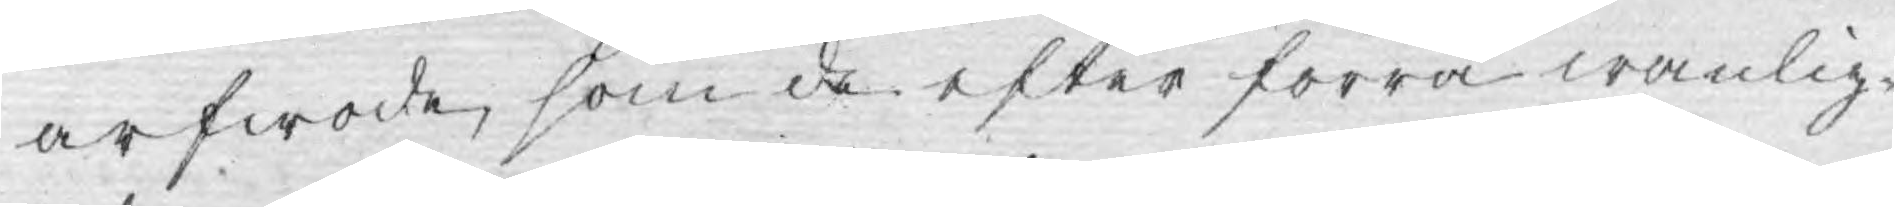arfwode, som de efter förra wanlig¬
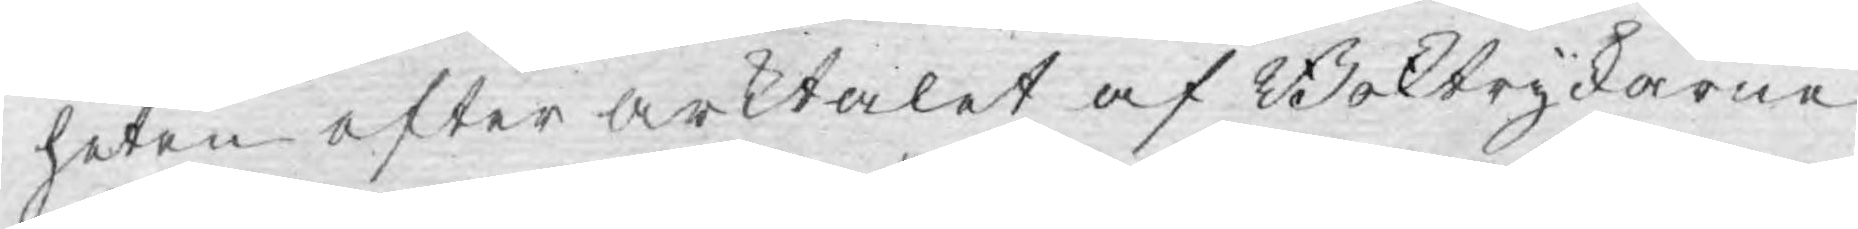heten efter arktalet af Boktryckarne
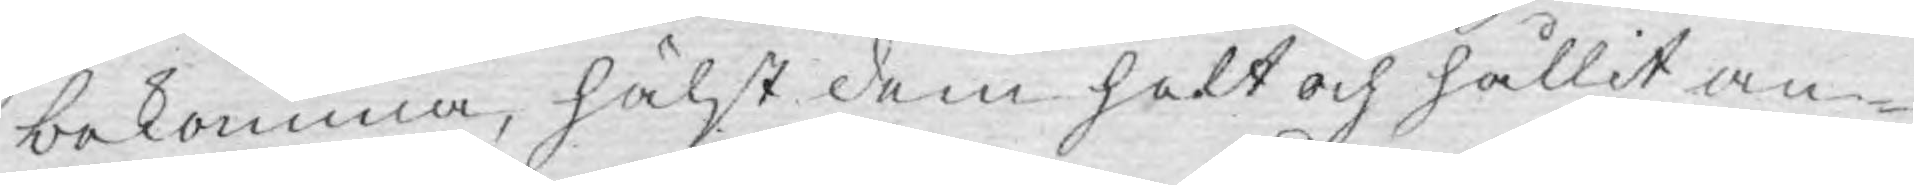bekomma, hälst dem helt och hållit an¬
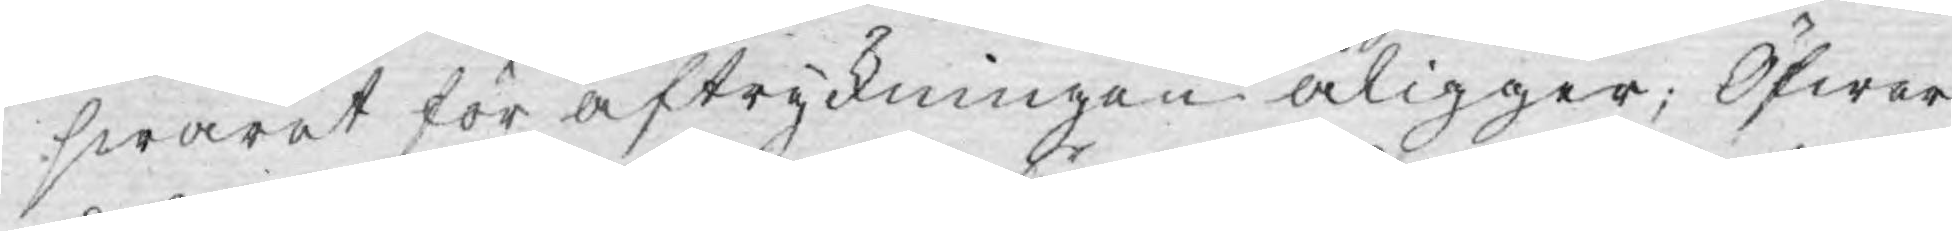swaret för aftryckningen åligger; Öfwer
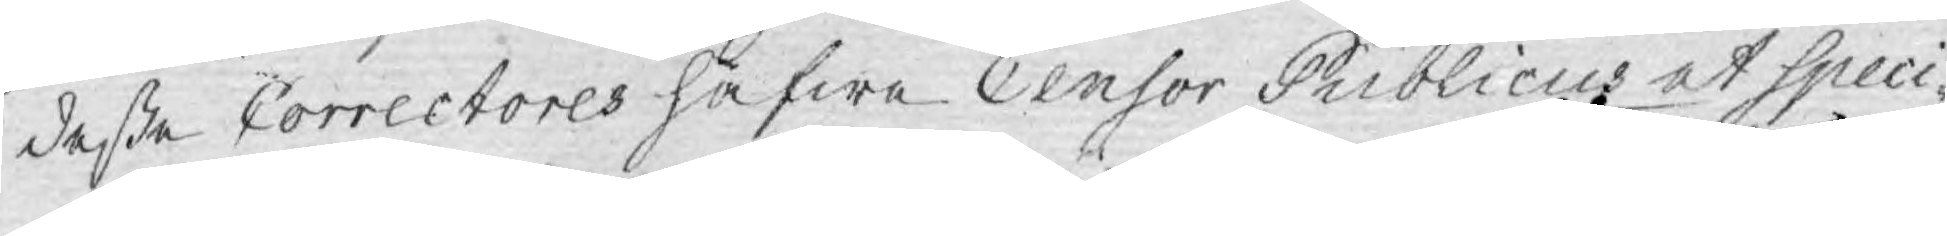deße Correctores hafwa Censor Publicus at Speci¬
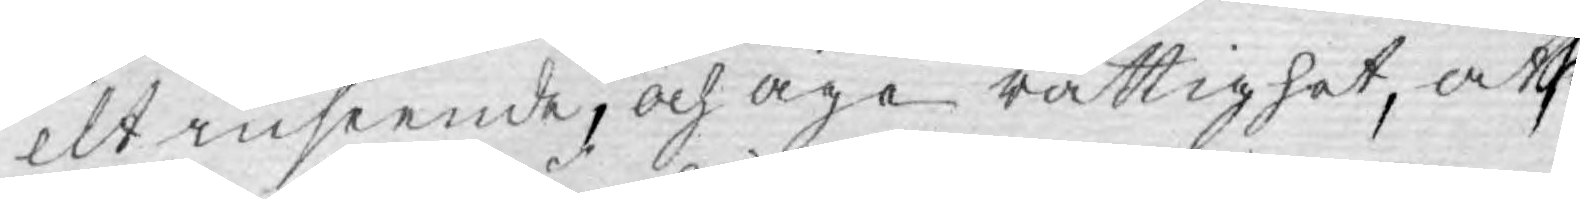elt inseende, och äge rättighet, att
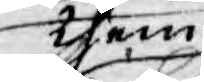them
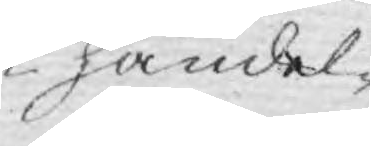i händel¬
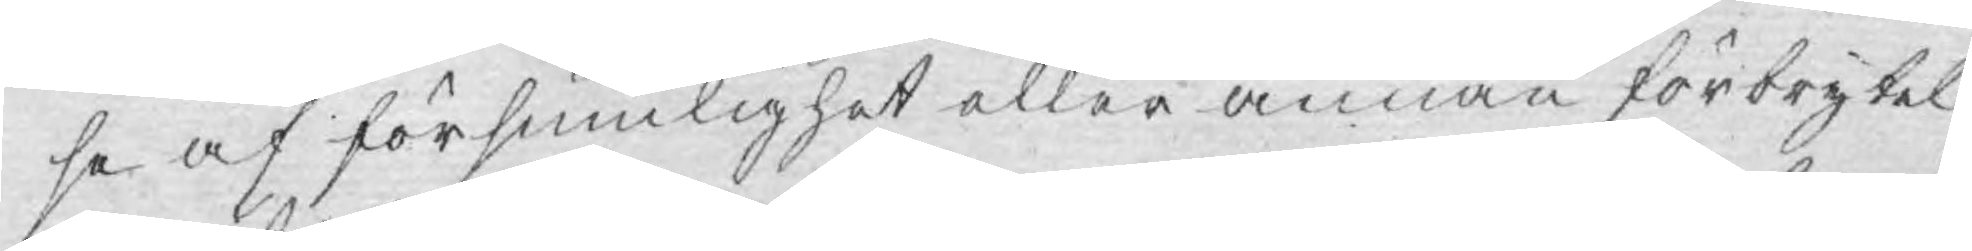se af försumlighet eller annan förbrytel¬
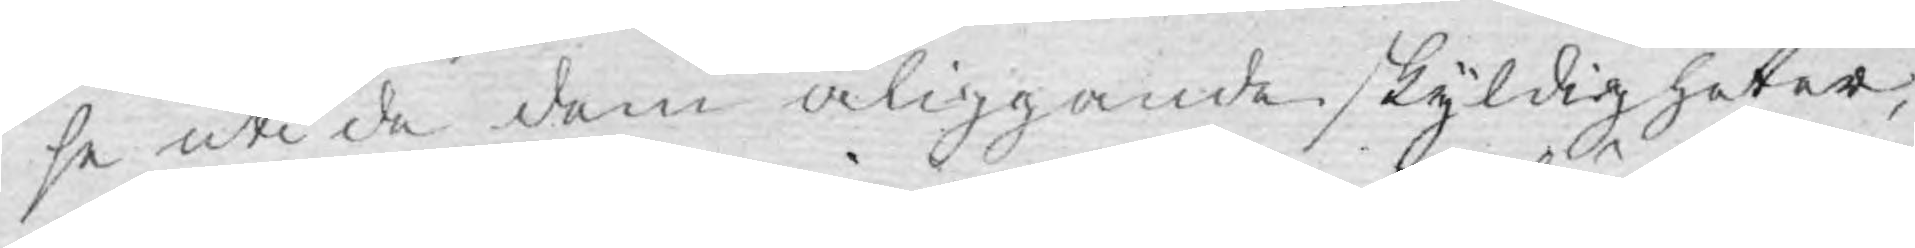se uti de dem åliggande skyldigheter,
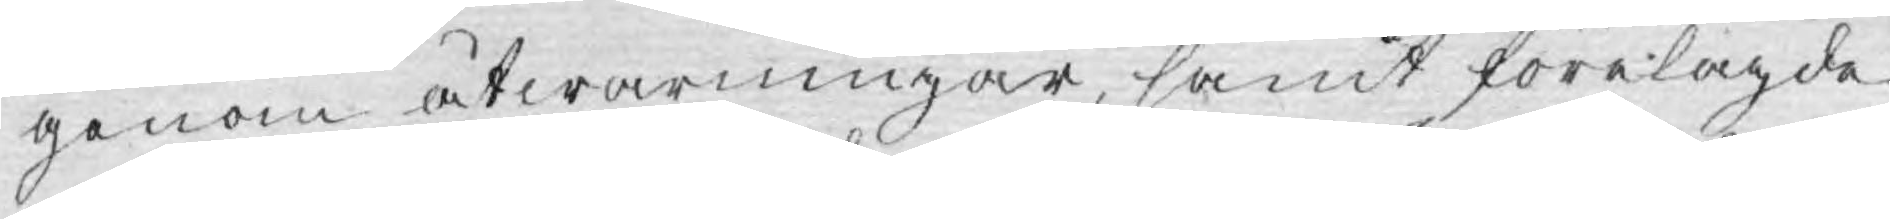genom åtwarningar, samt förelagde
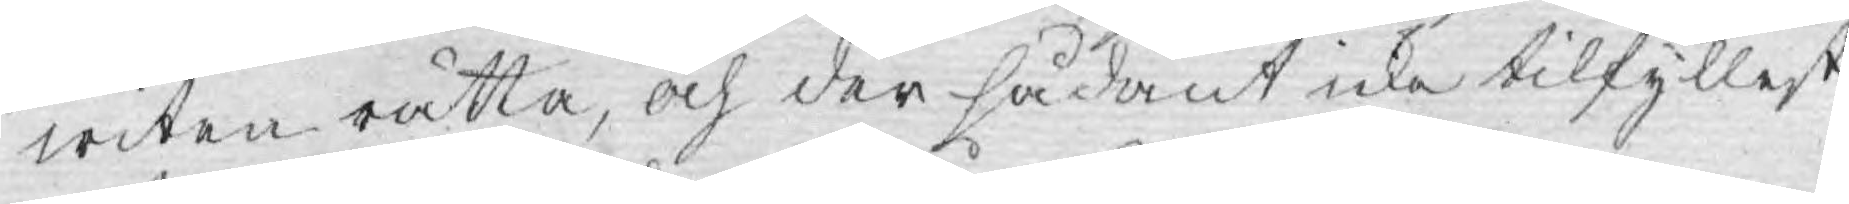witen rätta, och der sådant icke tilfyllest
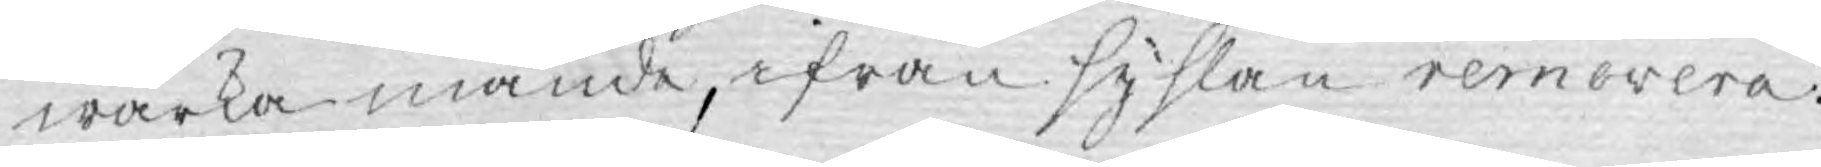wärka månde, ifrån syslan remorera.
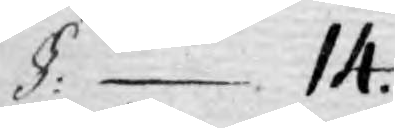§: 14.
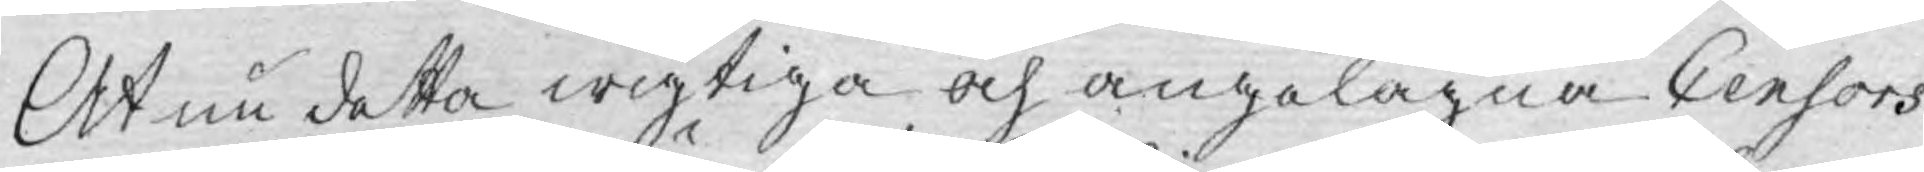At nu detta wigtiga och angelägna Censors
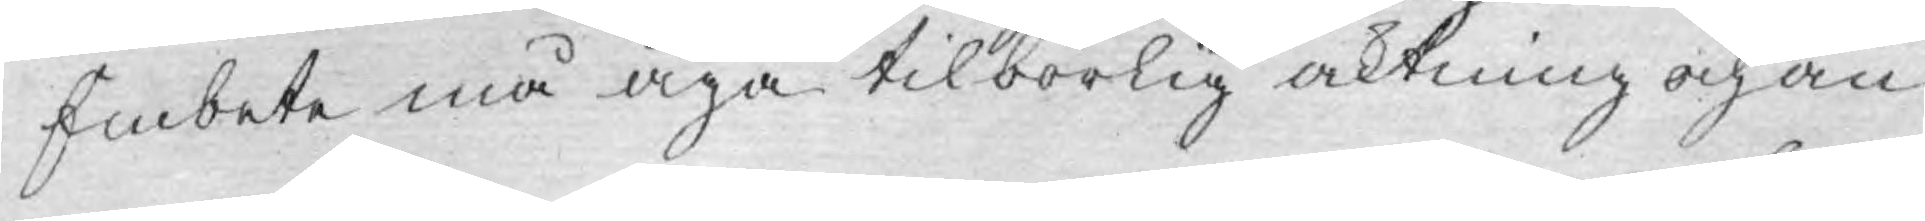Embete må äga tilbörlig aktning och an¬
